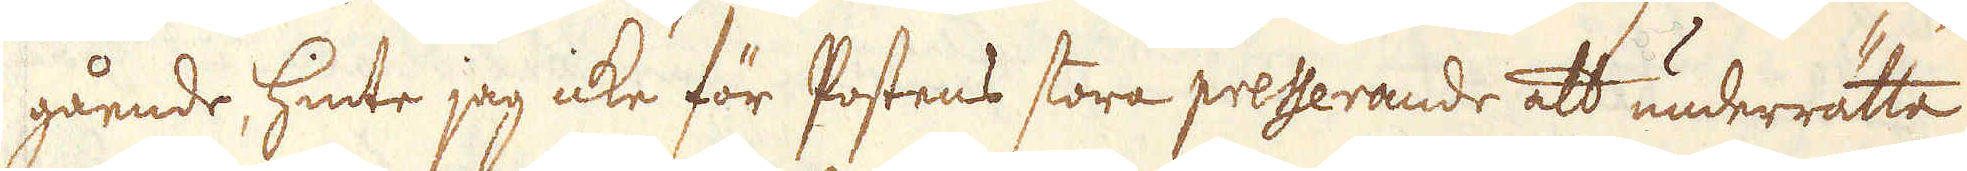gående hinte jag icke för Postens stora presserande att underrätta
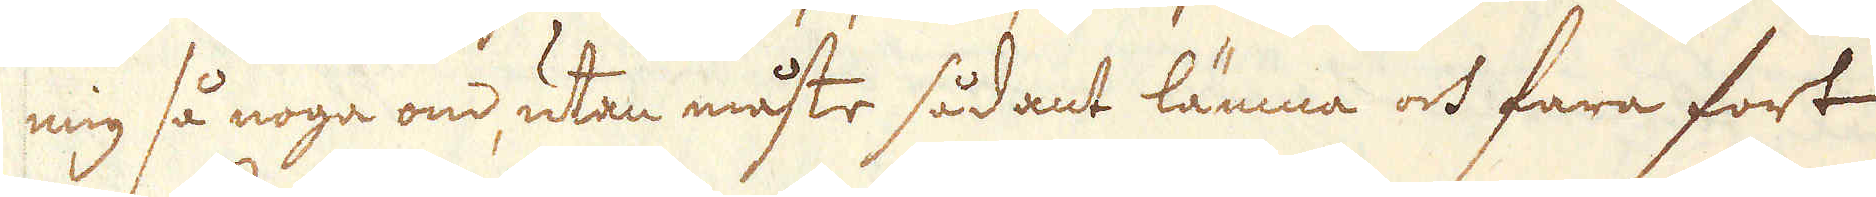mig så noga om, utan måste sådant lämna och fara fort
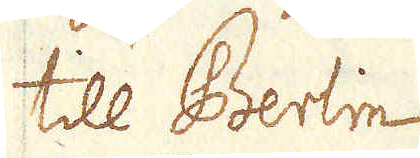till Berlin.
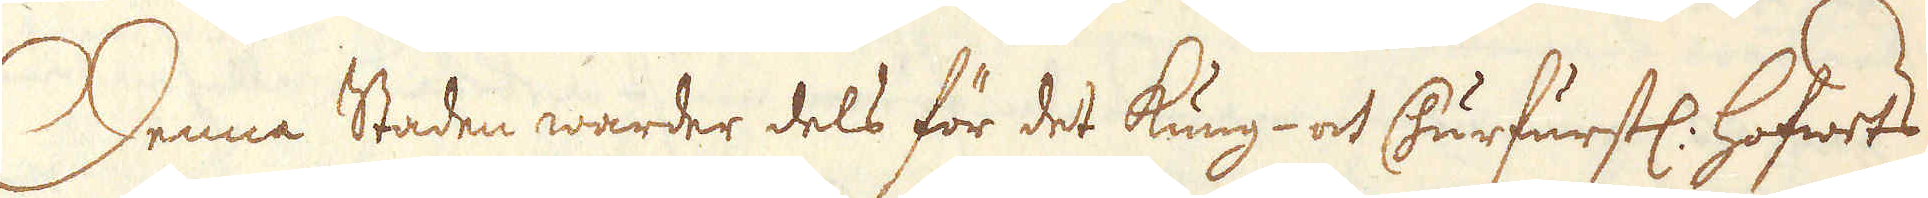Denna Staden warder dels för det kung- oct Churfurstl. Hofwets
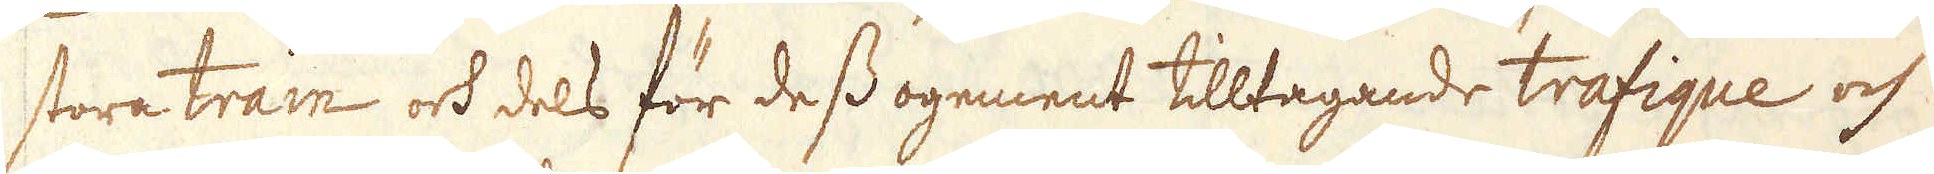stora train och dels för dess ogement tilltagande trafique och
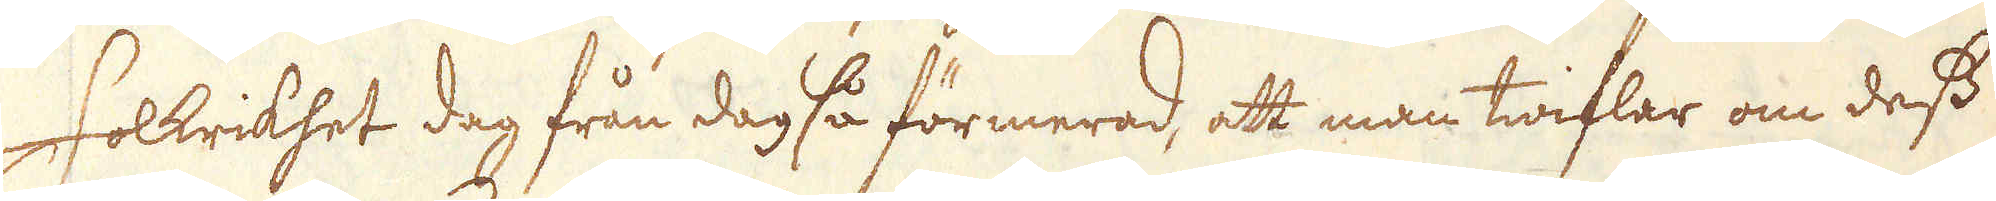folkrikhet dag från dag så förmerad, att man twiflar om dess
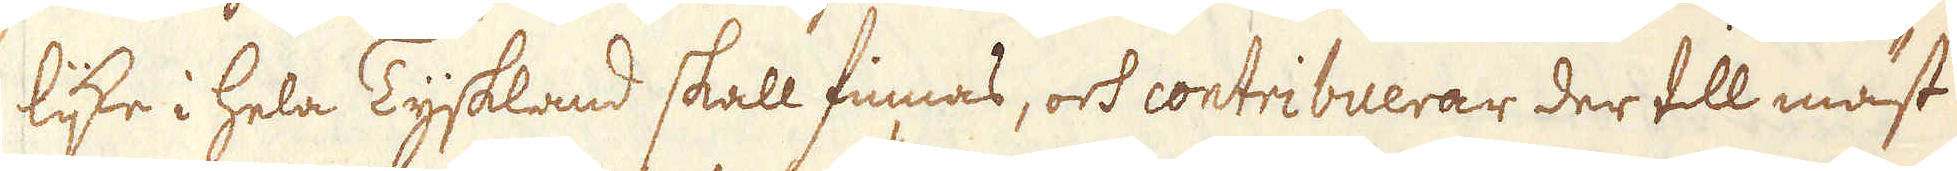like i hela Tyskland skall finnas, och contribuerar der tll mäst
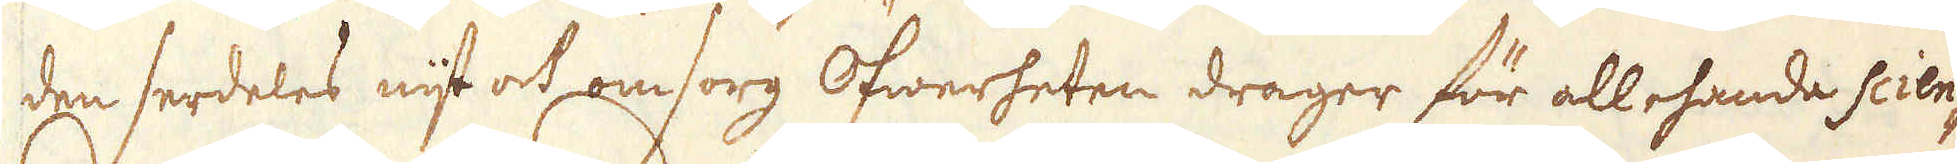den serdeles nijt och omsorg Öfwerheten drager för allehanda scien-
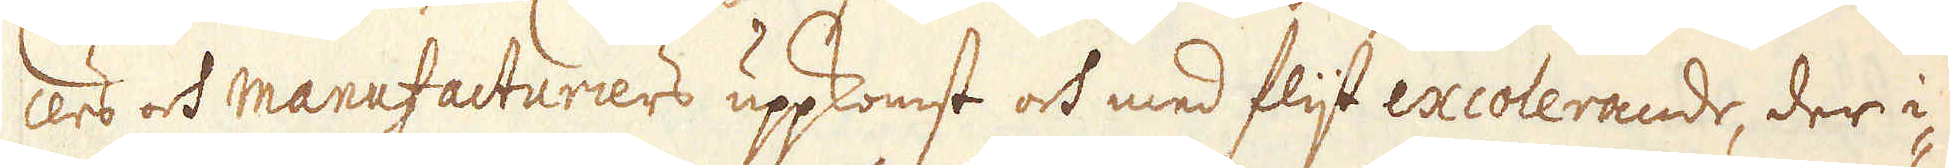cers och Manufacturiers uppkomst och med flijt excolerande, der i-
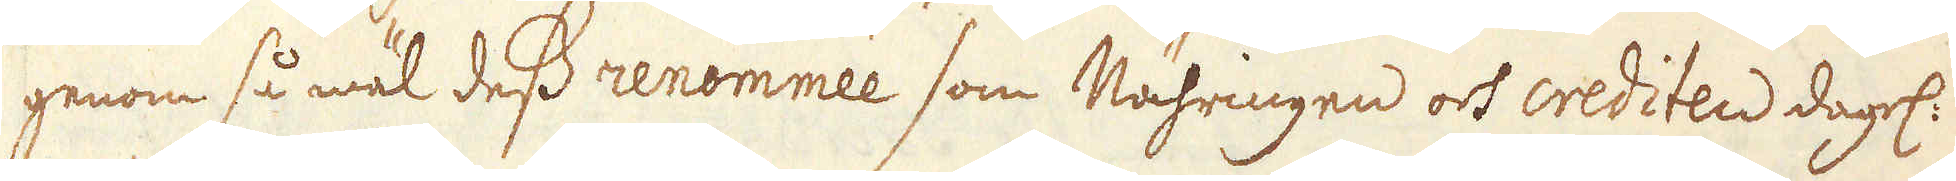genom så wäl dess renomnéee som Nähringen och creditns dagl.
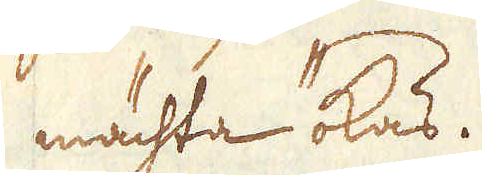mächta ökas.
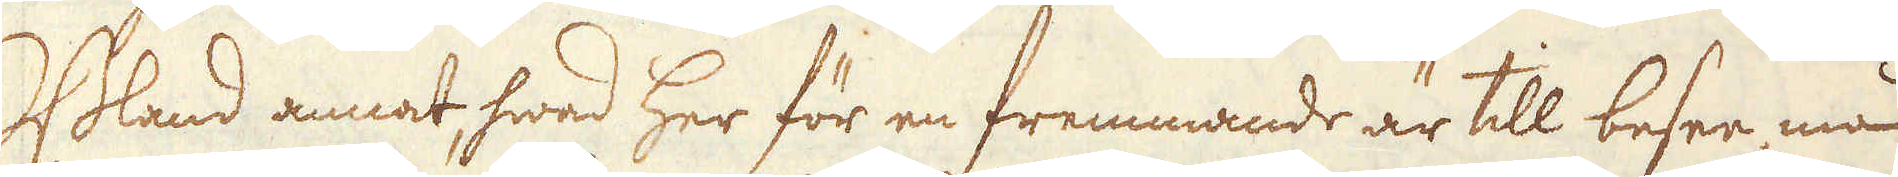Bland annad hwad her för en fremmande är till besee må
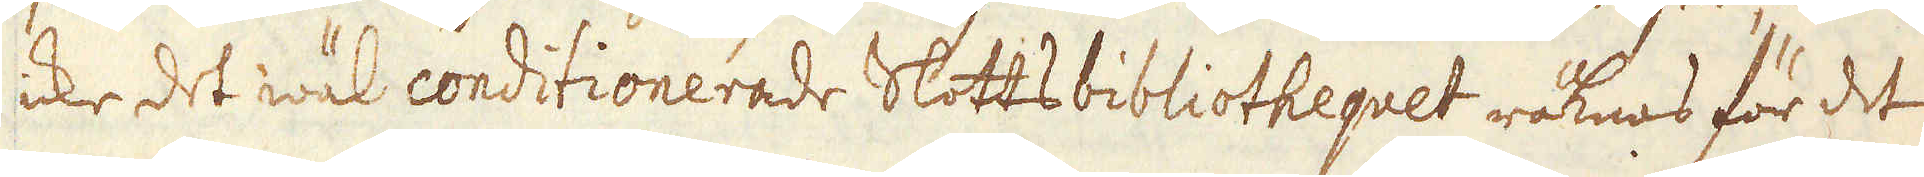icke det wäl conditionerade Slottsbibliothequet räknas för det
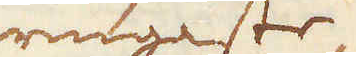ringaste,
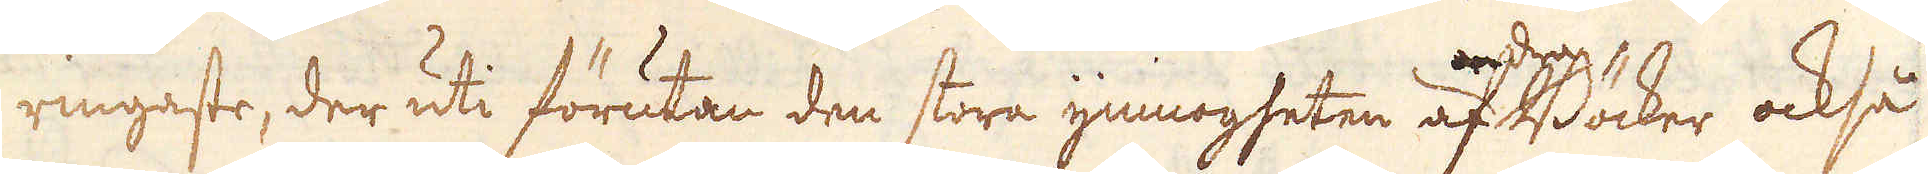ringaste, der uti förutan den stora ymnogheten af andra Böcker också
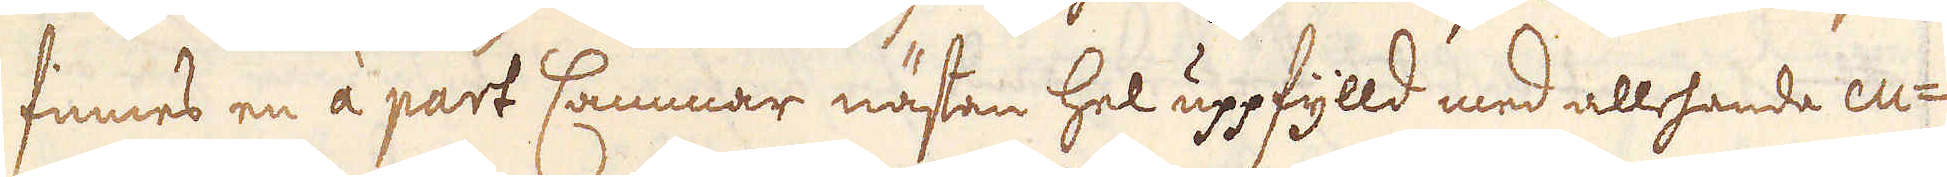finnes en àå part Cammar nästen hel uppfylld med allhande cu-
